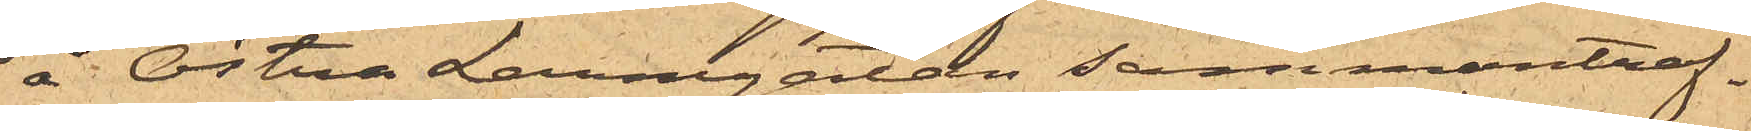å Östra Larmgatan sammanträf¬
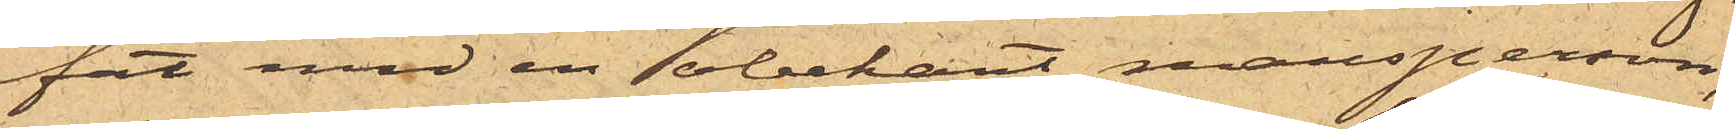fat med en obekant mansperson,
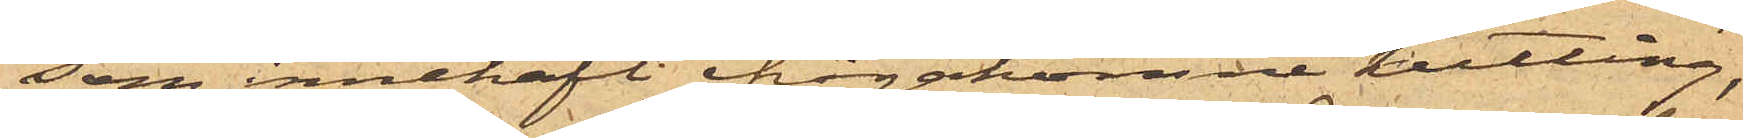som innehaft ifrågakomne kutting,
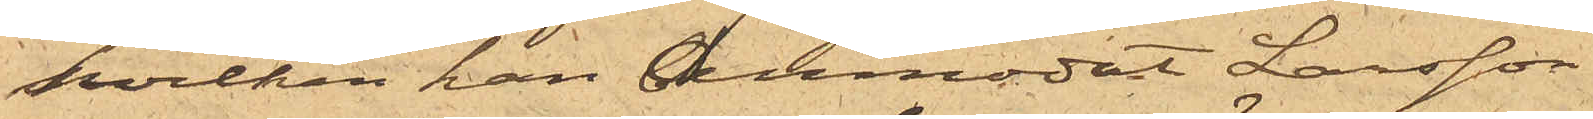hvilken han anmodat Larsson
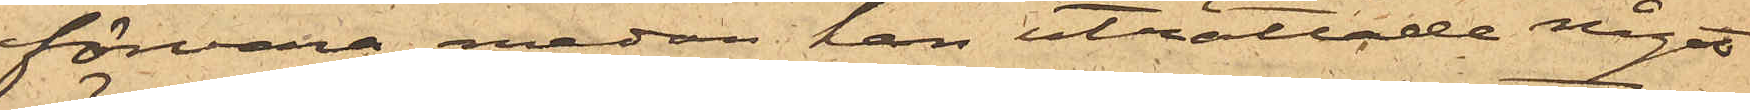förvara, medan han uträttade något
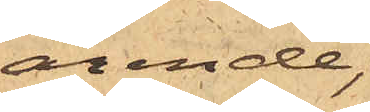ärende,
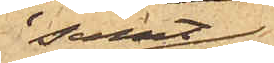samt
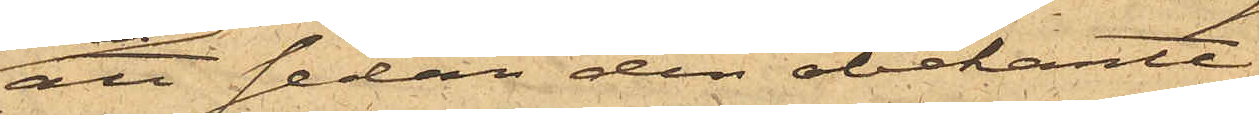att sedan den obekante
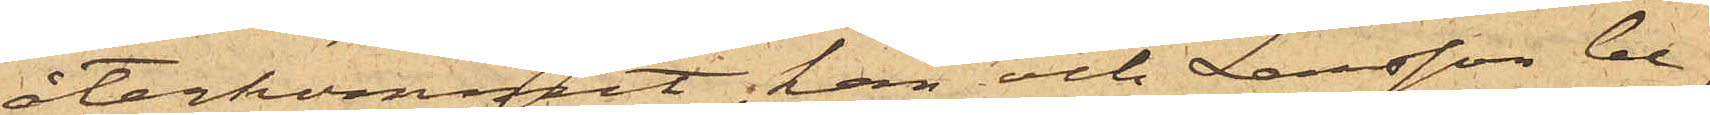återkommit; han och Larsson be¬
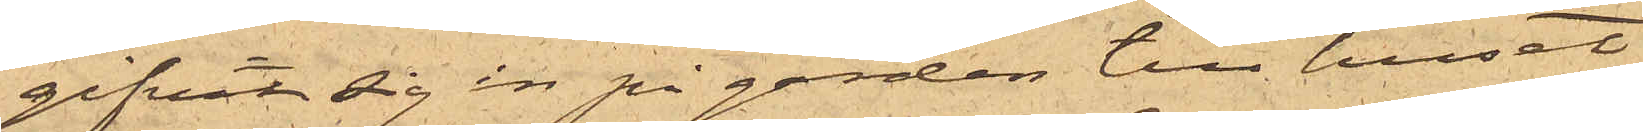gifvit sig in på gården till huset
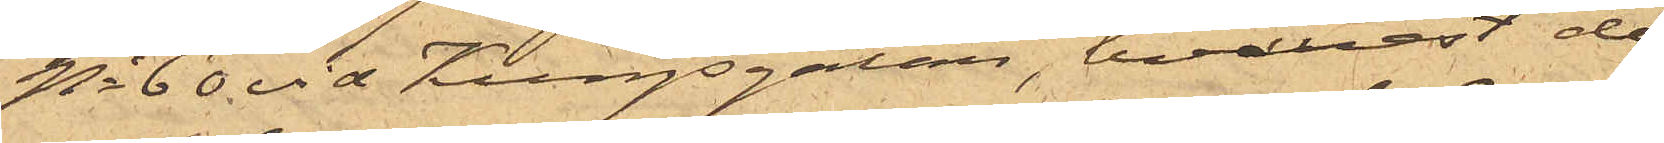No 60 via Kungsgatan, hvarest de
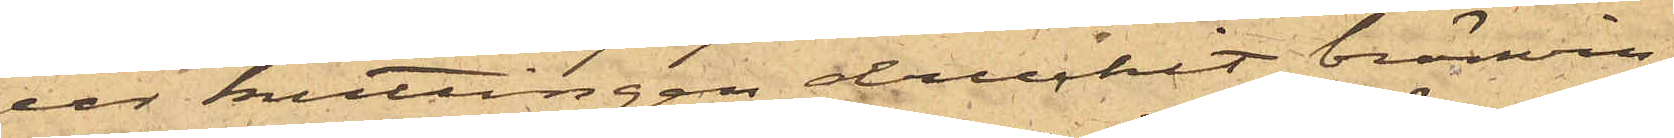ur kuttingen druckit bränvin,
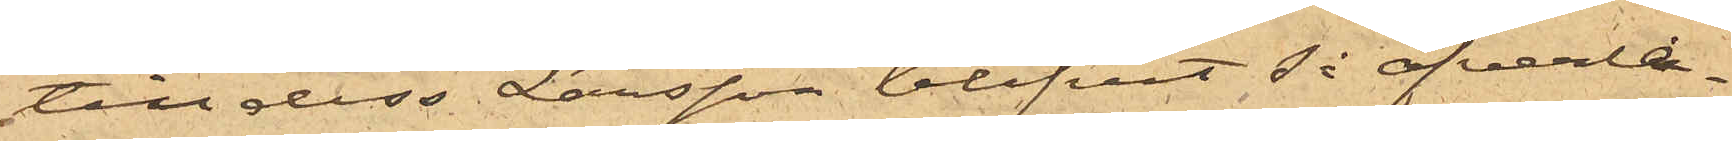till dess Larsson blifvit så öfverla¬
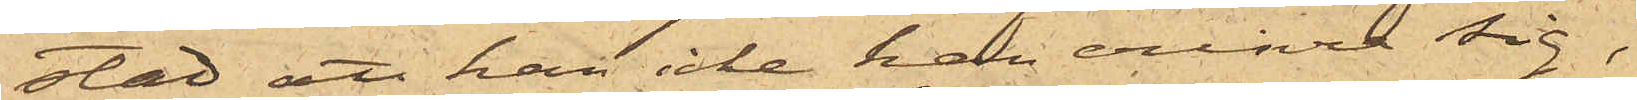stad att han icke kan erinra sig,
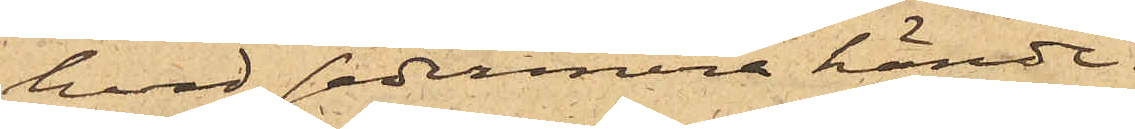hvad sedermera hände.
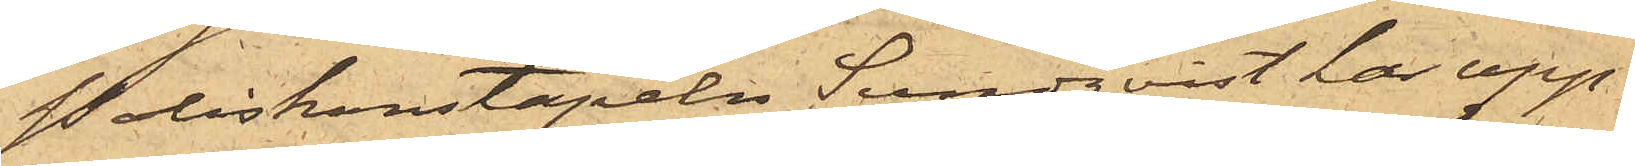Poliskonstapeln Sundqvist har upp¬
